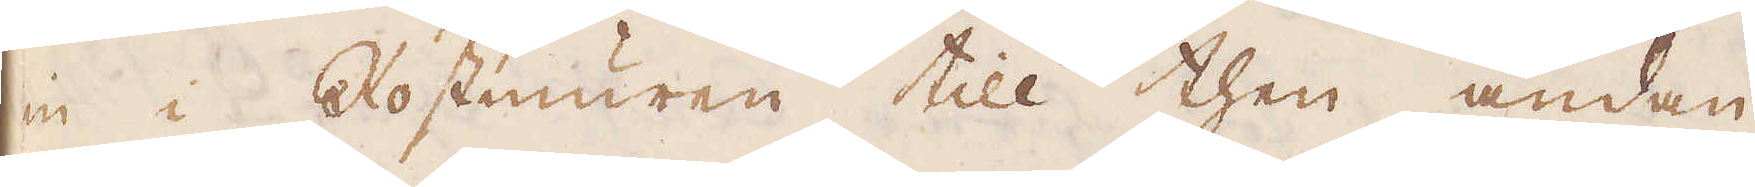in i Rostmuren till then ändan,
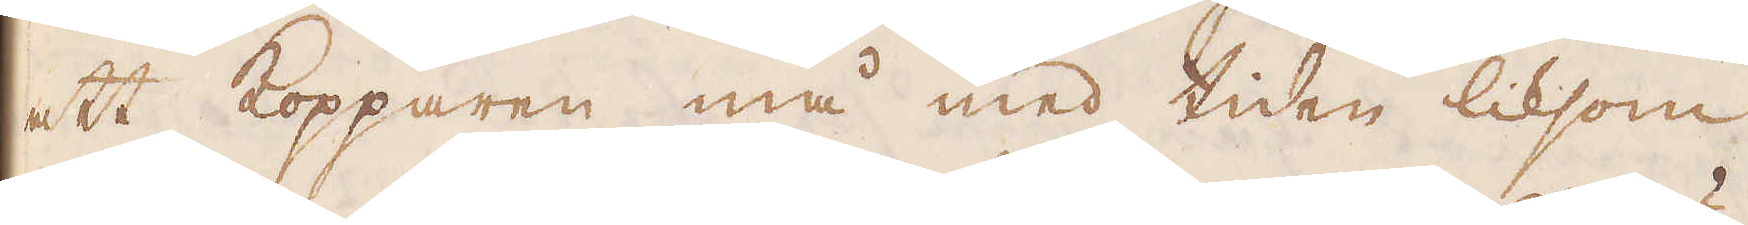att Kopparen må med tiden liksom
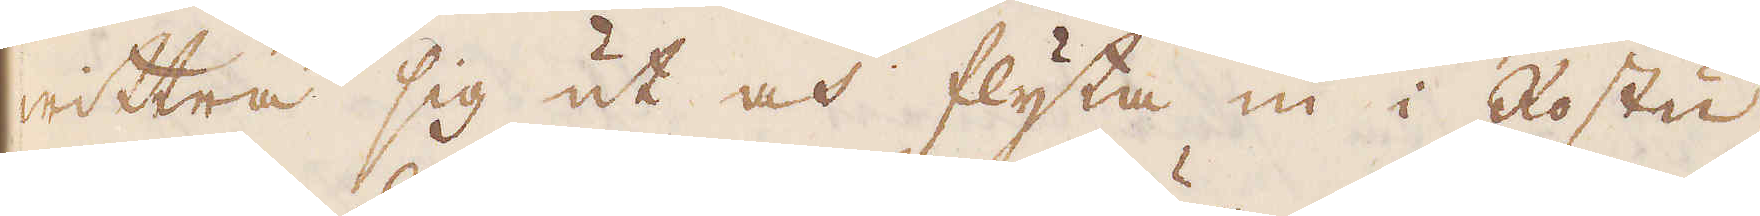wittra sig ut och flyta in i Rostu-
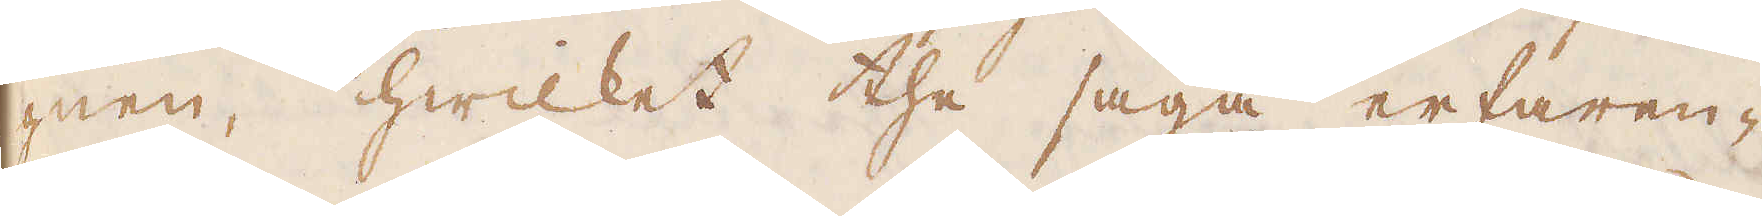gnen, hwilket the säga erfaren-
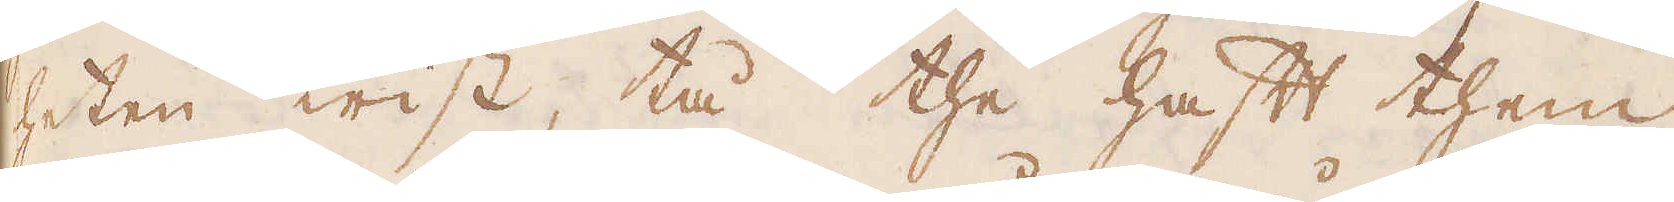heten wist, tå the haft them
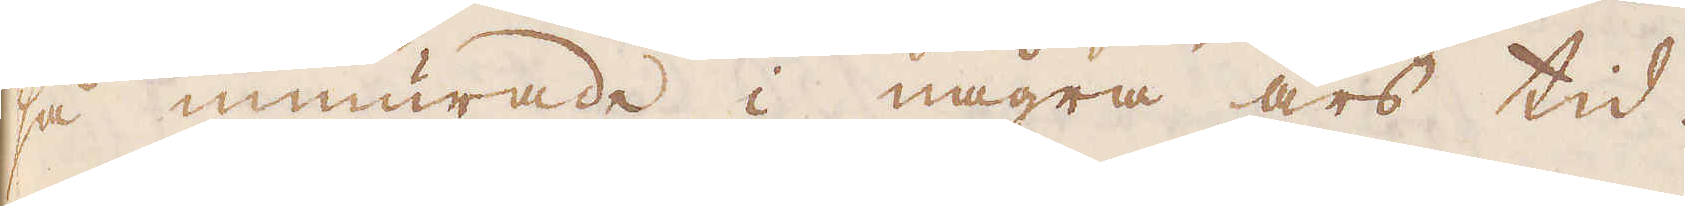så inmurade i några års tid.
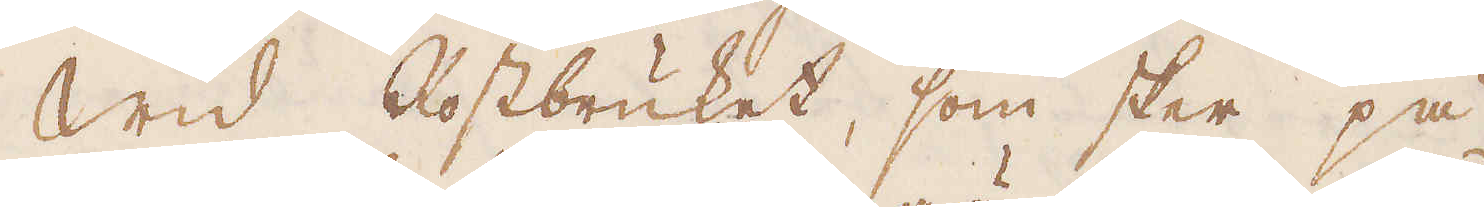Wid Rostbruket, som sker på
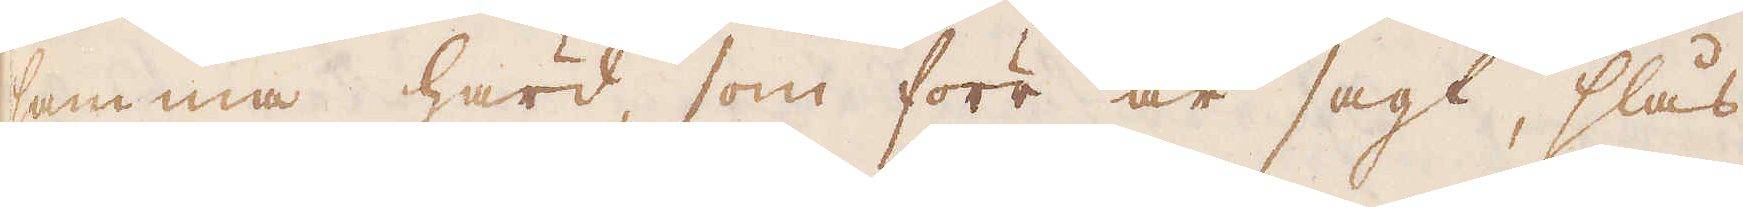samma härd, som förr är sagt, slås
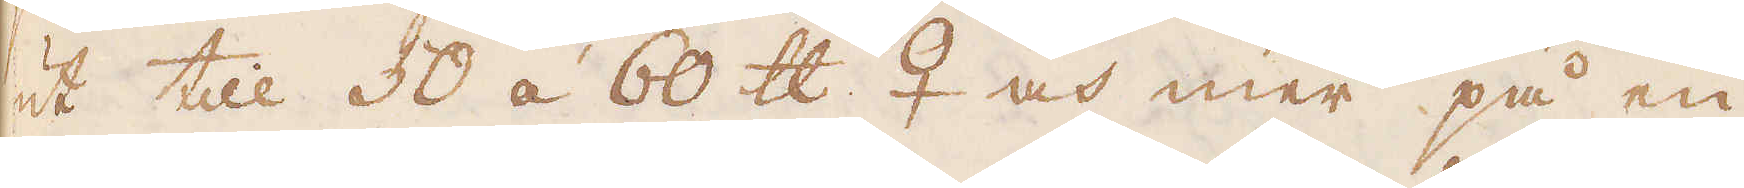ut till 30 á 60 skålpund ♀ och mer på en
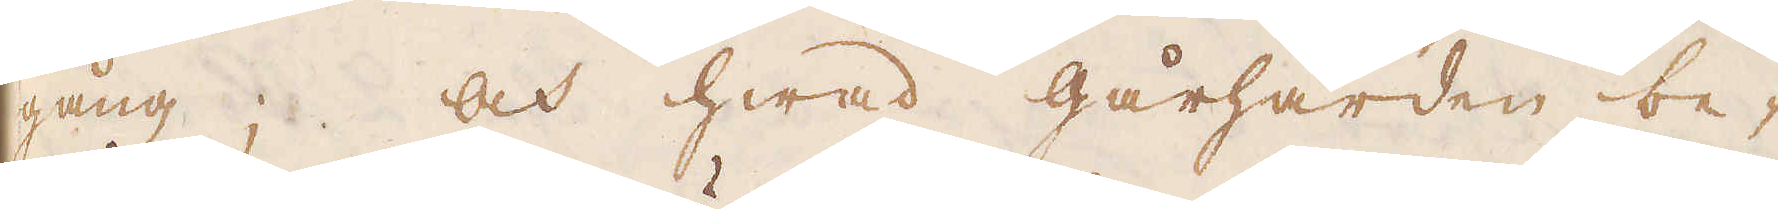gång; och hwad gårhärden be-
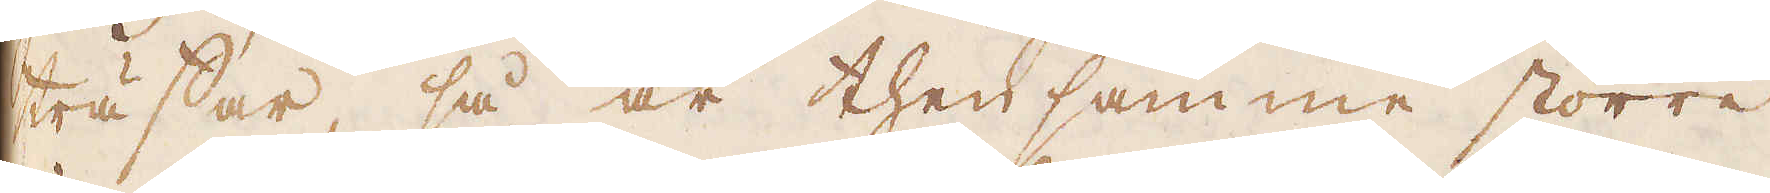träffar, så är then samme större
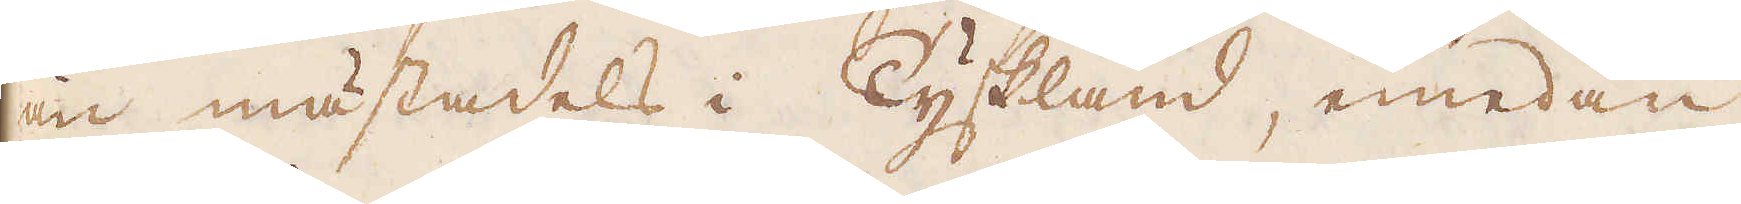än mästadels i Tyskland, emedan
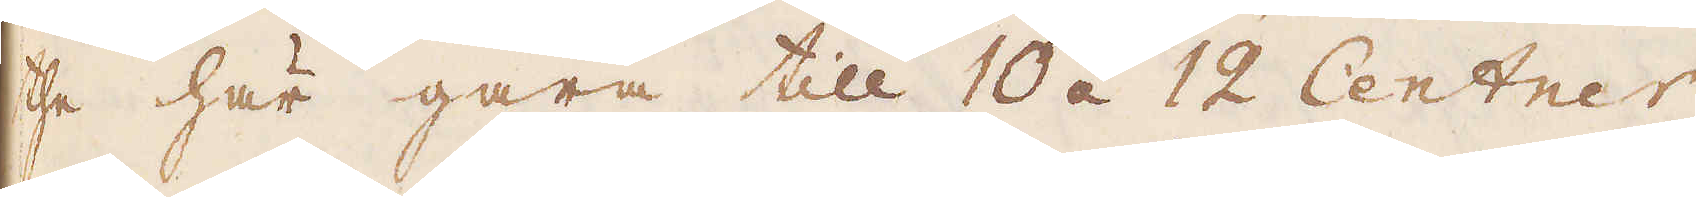the här gåra till 10 á 12 Centner
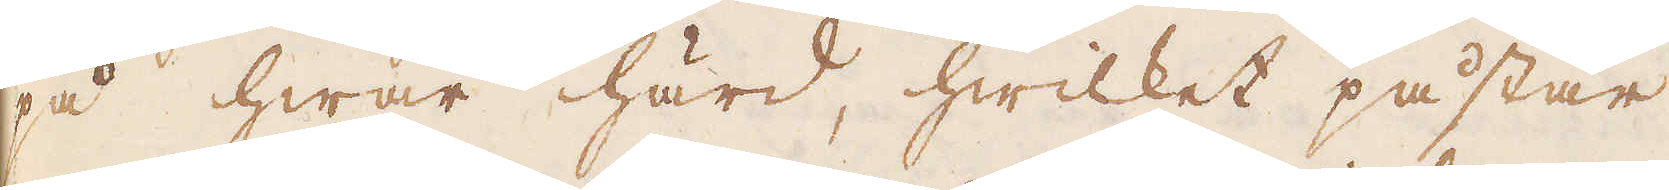på hwar härd, hwilket påstår
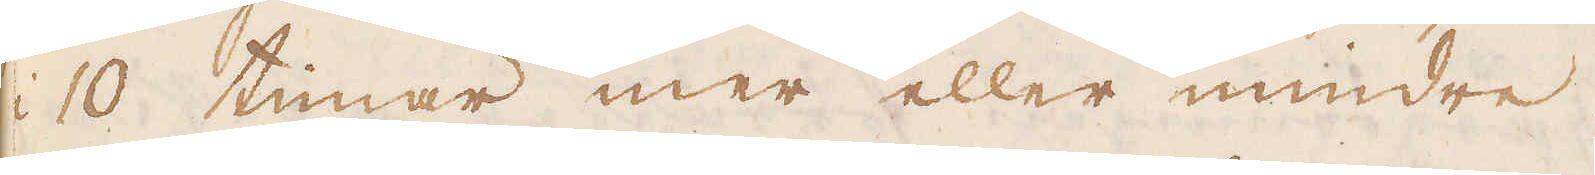i 10 timar mer eller mindre.
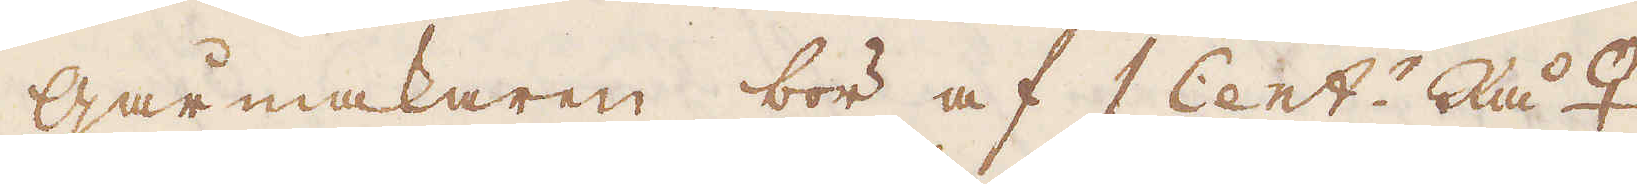Gårmakaren bör af 1 Cent:r Rå ♀
